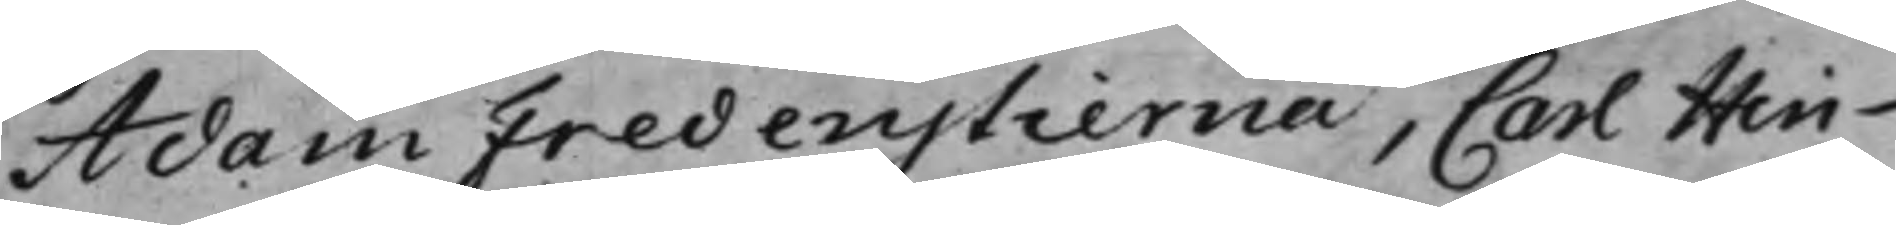Adam Fredenstierna, Carl Hin¬
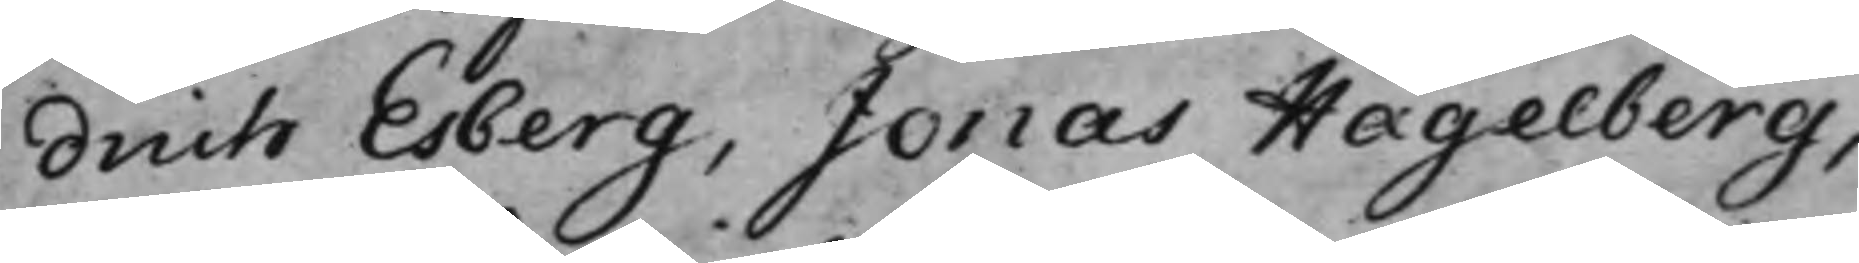drich Esberg, Jonas Hagelberg,
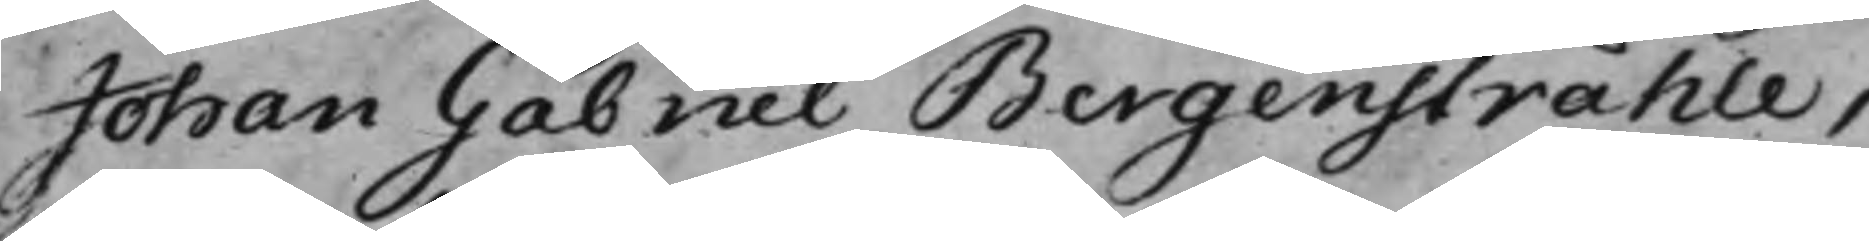Johan Gabriel Bergenstråhle,
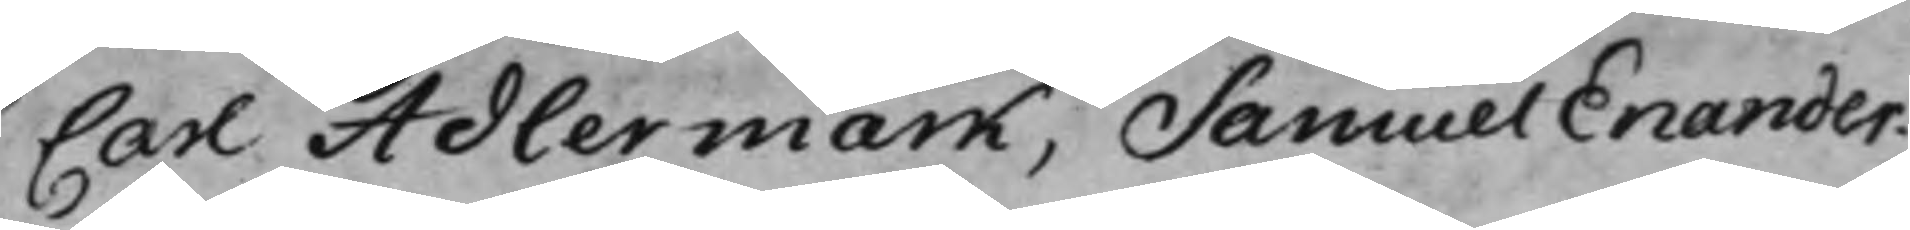Carl Adlermark, Samuel Enander.
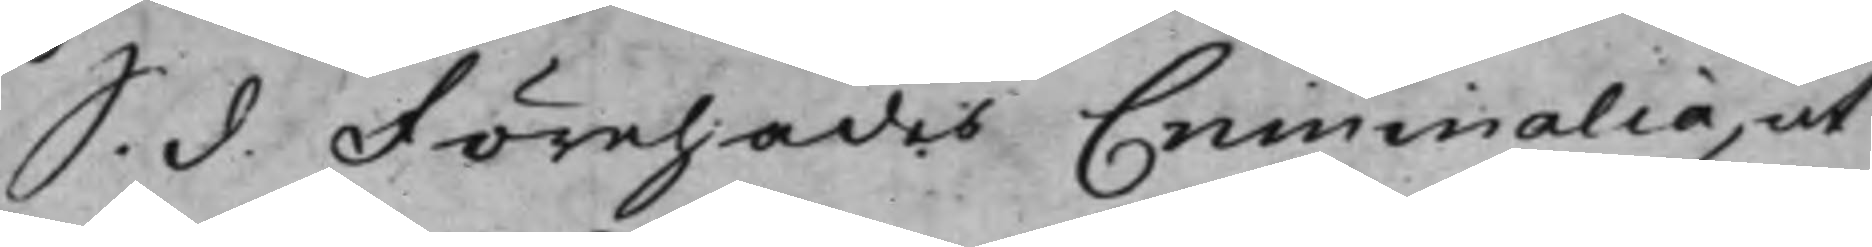S. d. Förehades Criminalia, ut
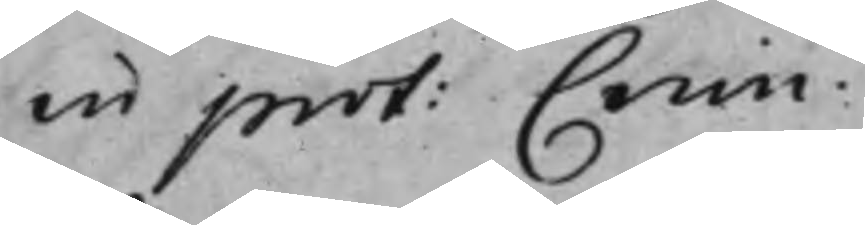in prot: Crim:
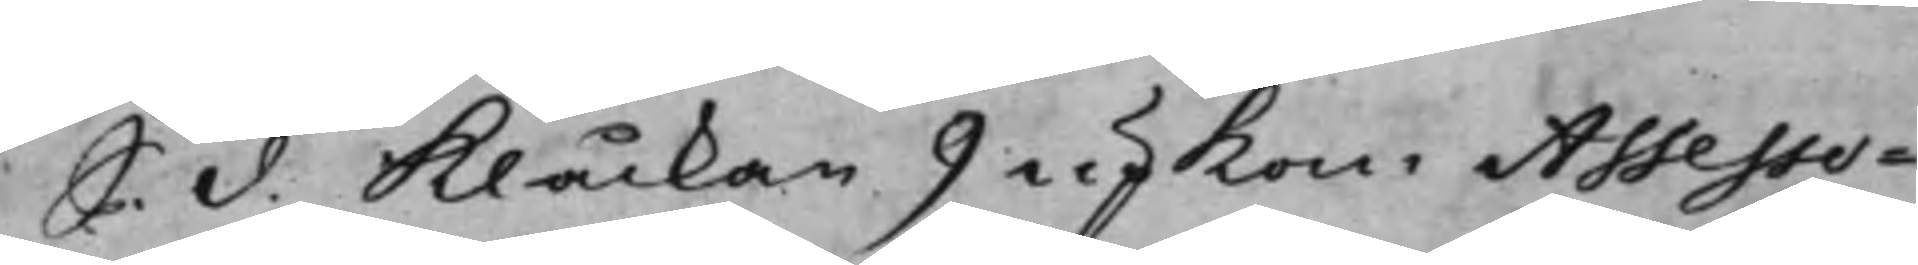S. d. Klåckan 9 upkom Assesso-
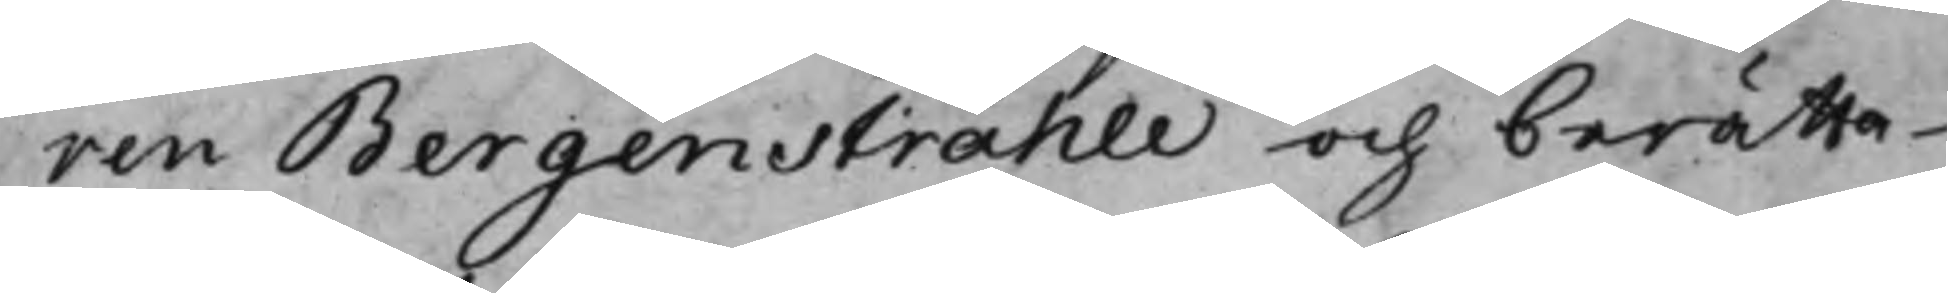ren Bergenstråhle och berätta¬
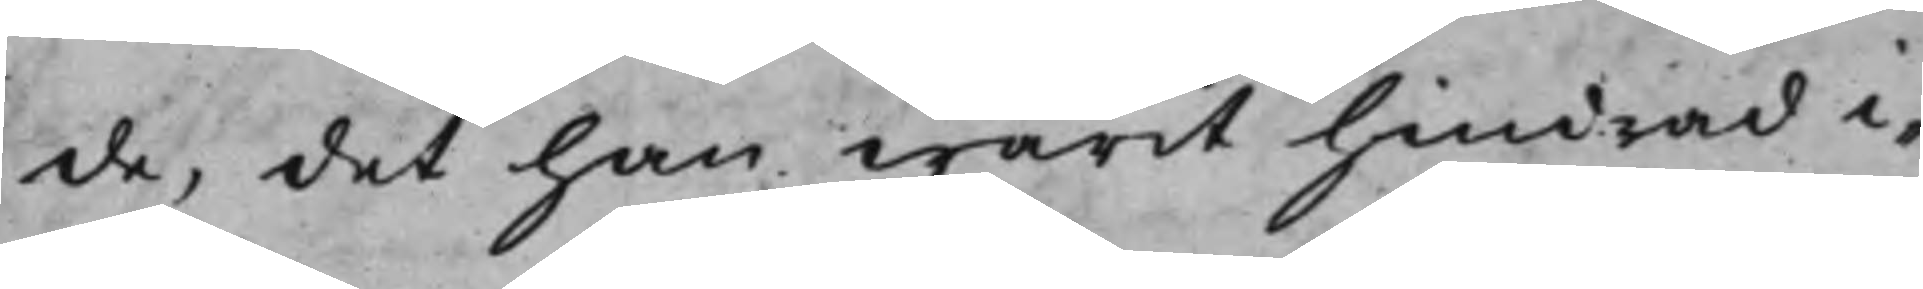de, det han warit hindrad i¬
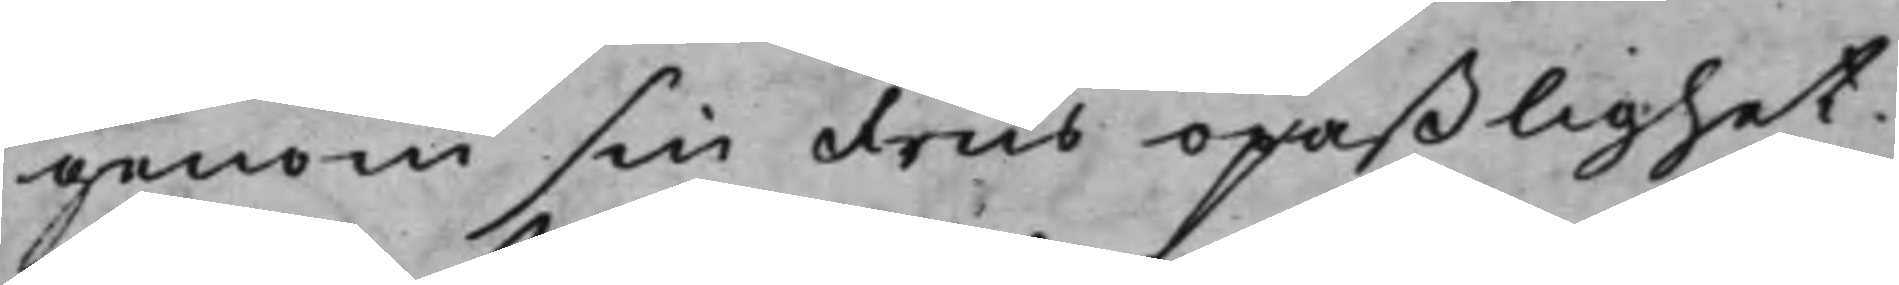genom sin Frus opaßlighet.
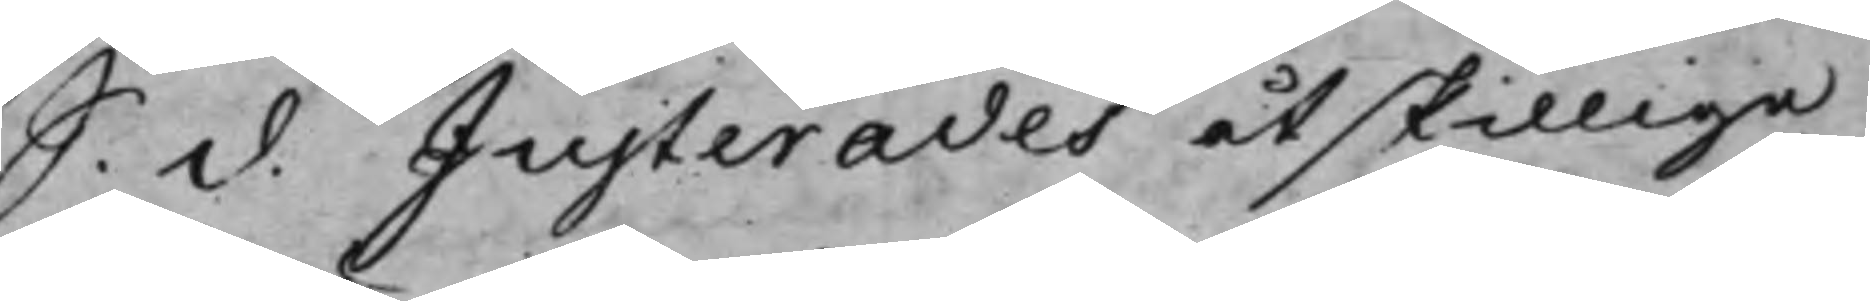S. d. Justerades åtskillige
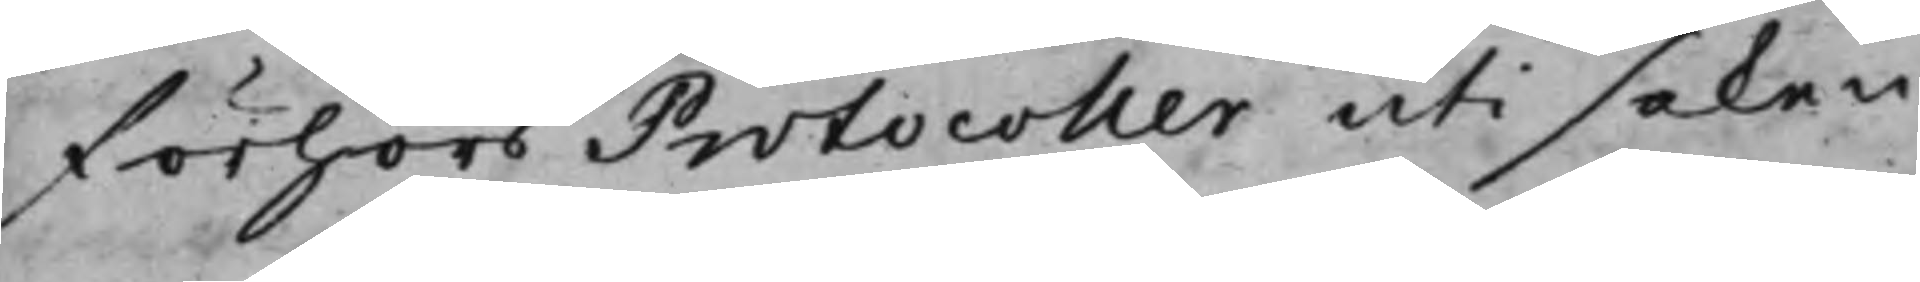förhörs Protocoller uti saken,
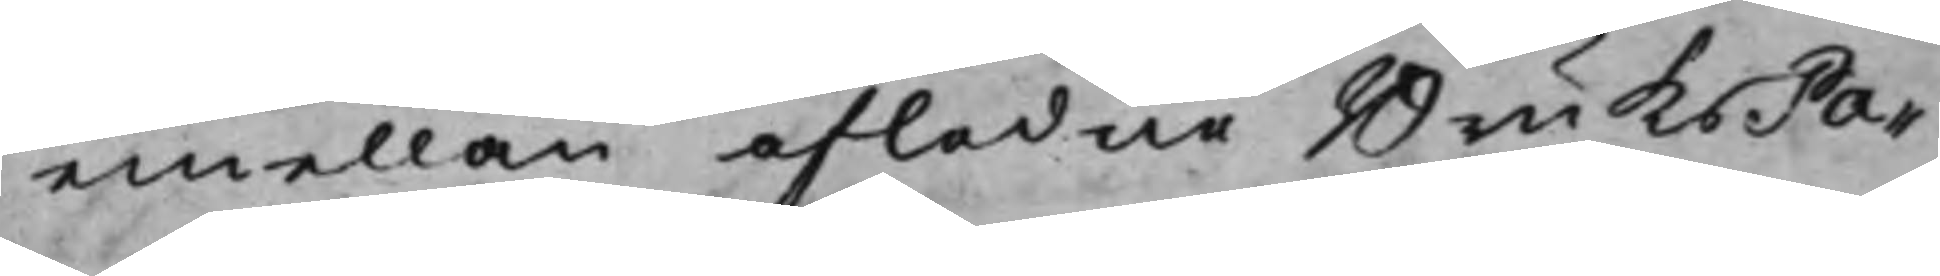emellan afledne BruksPa¬
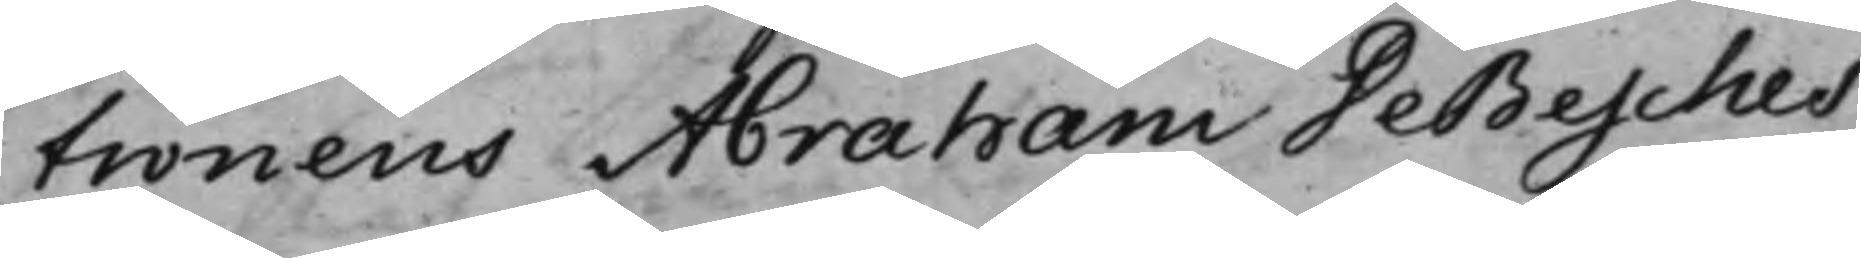tronens Abraham DeBesches
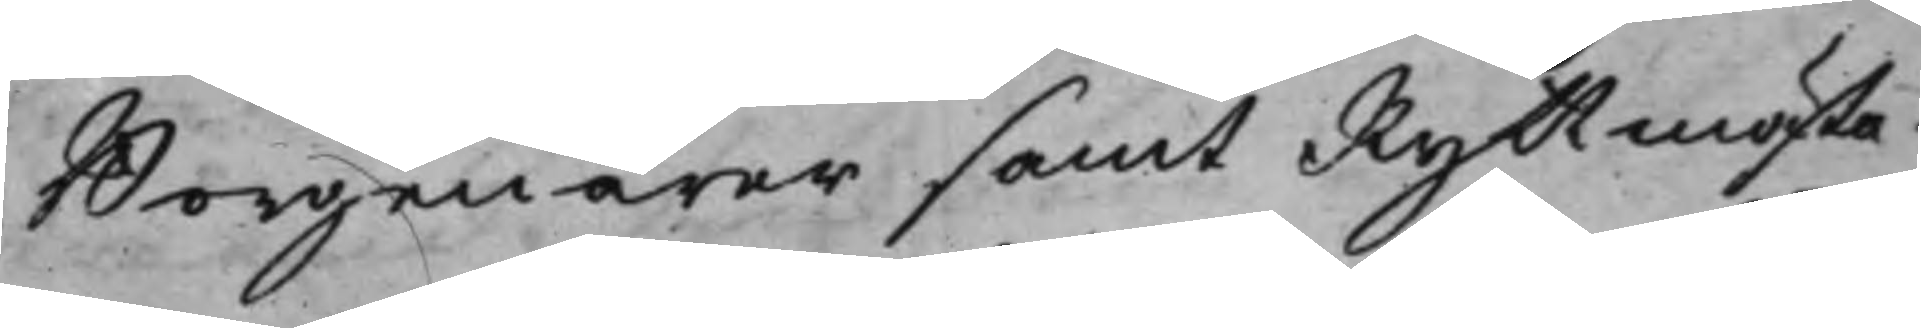Borgenärer samt Ryttmästa¬
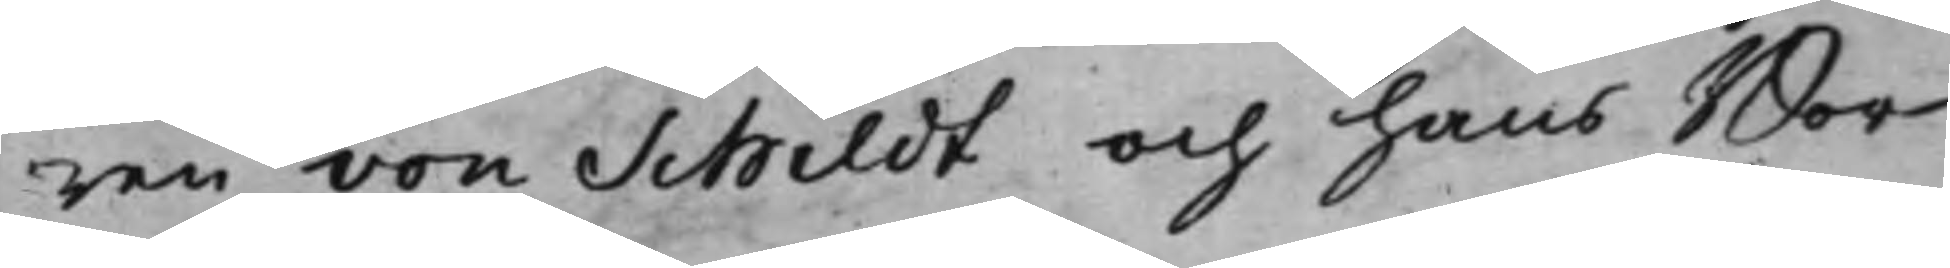ren von Schildt och hans Bor¬
